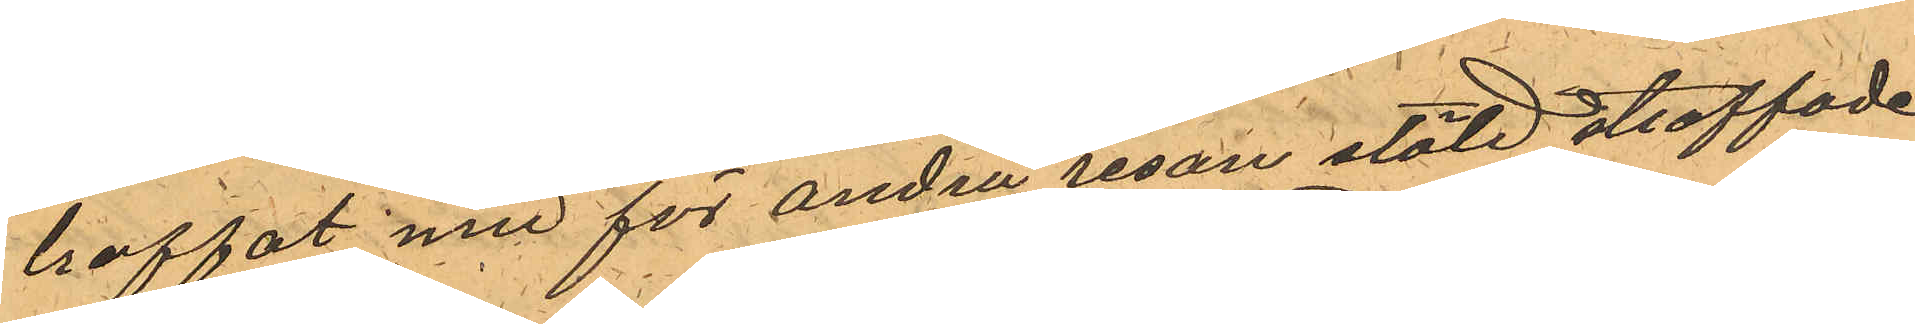troffat med för andra resan stöld straffade
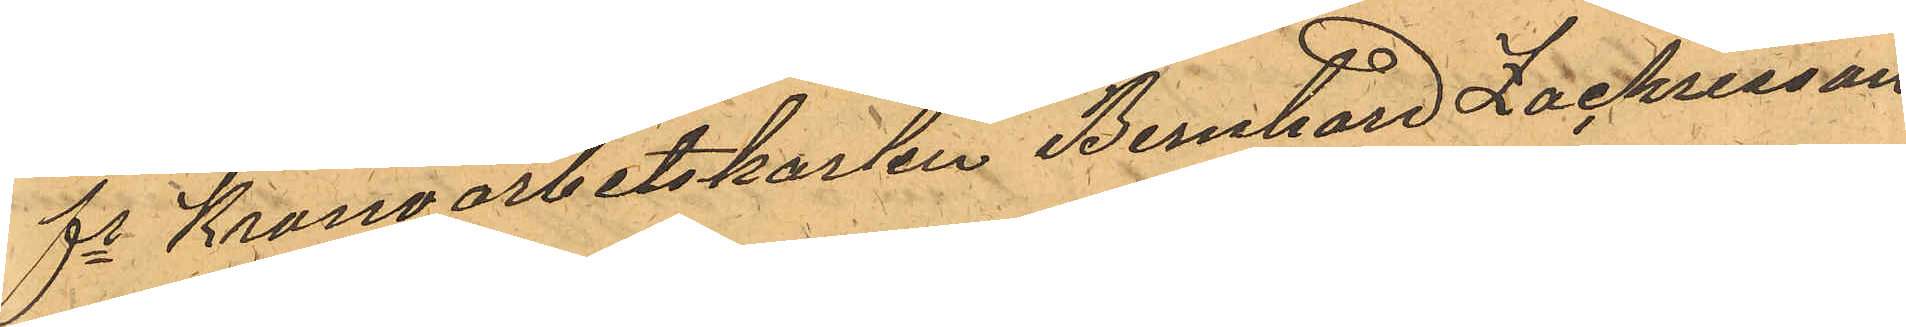fe Kronoarbetskarlen Bernhard Zachrisson,
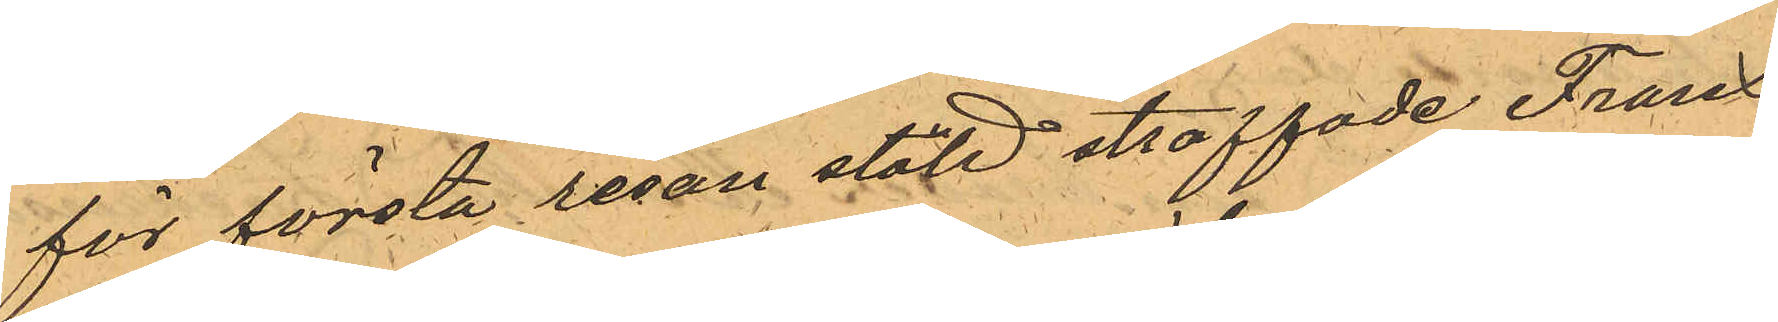för första resan stöld straffade Frans
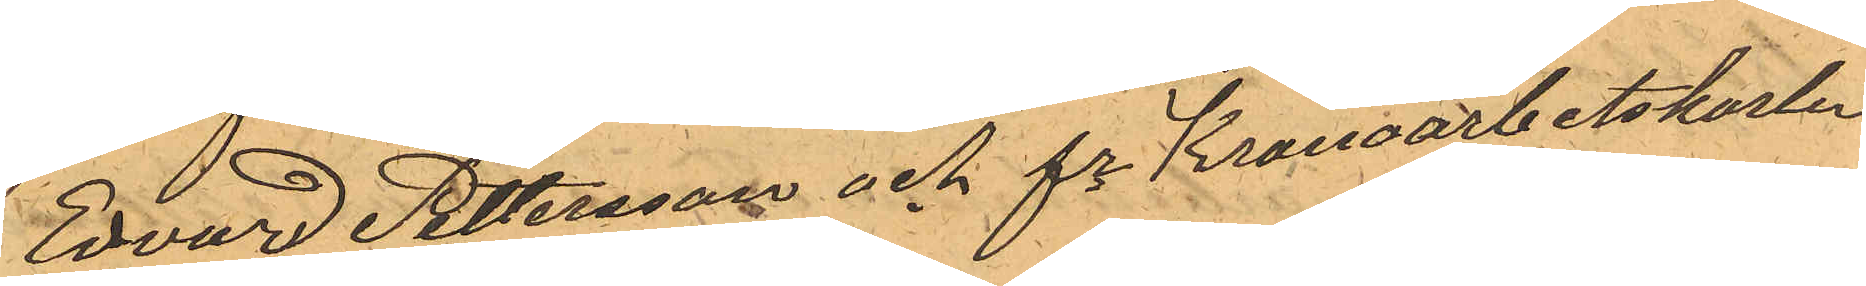Edvard Pettersson och fe Kronoarbetskarlen
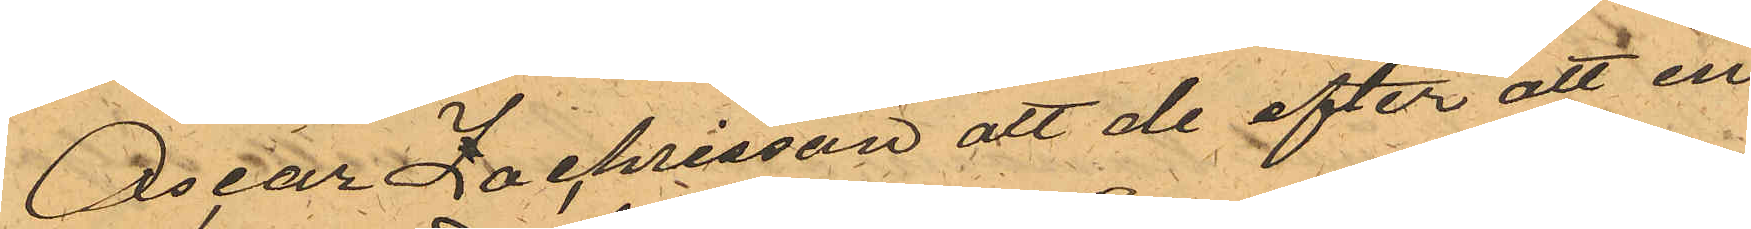Oscar Zachrisson att de efter att en
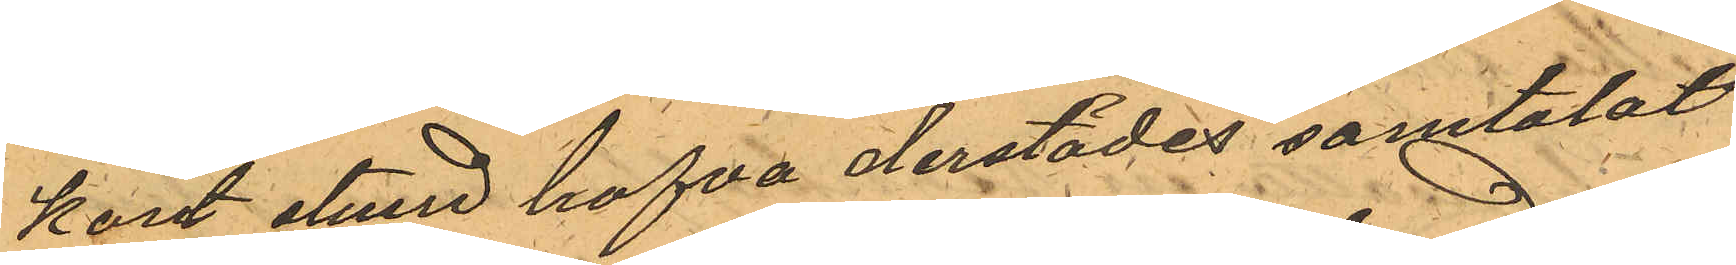kort stund hafva derstädes samtalat
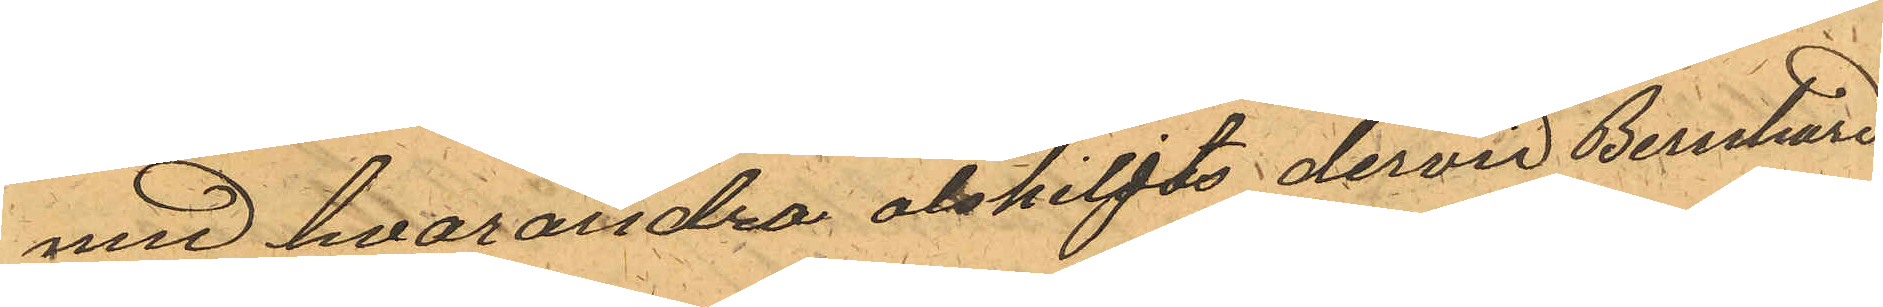med hvarandra atskiljts dervid Bernhard
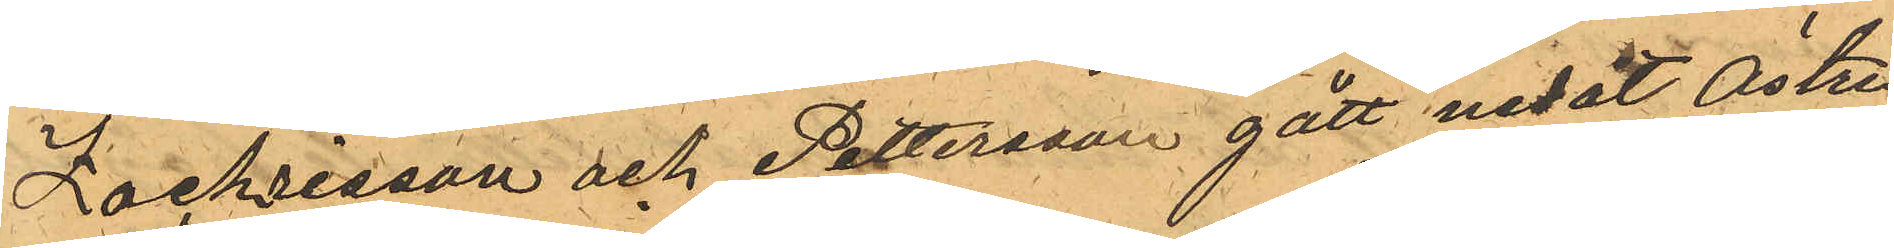Zachrisson och Pettersson gått nedåt Östra
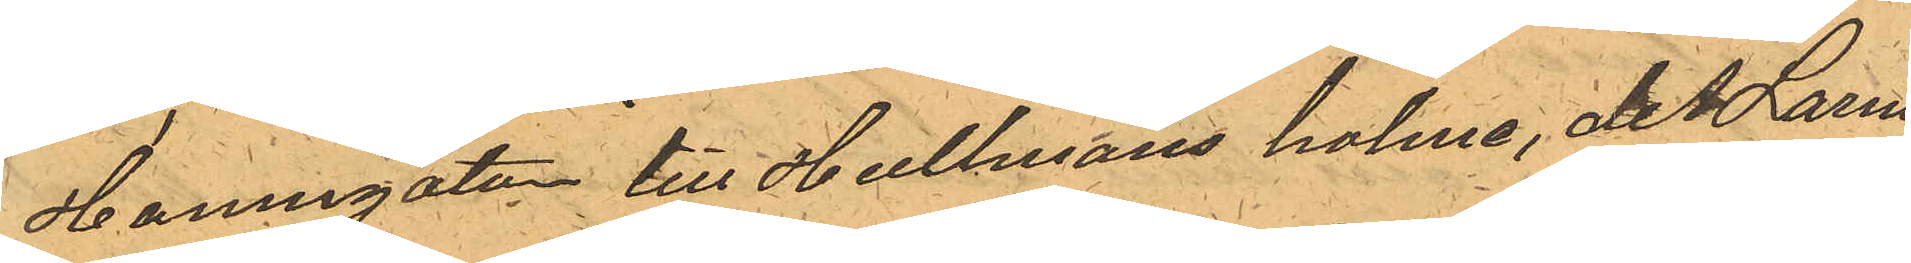Hamngatan till Hultmans holme, dit Larm
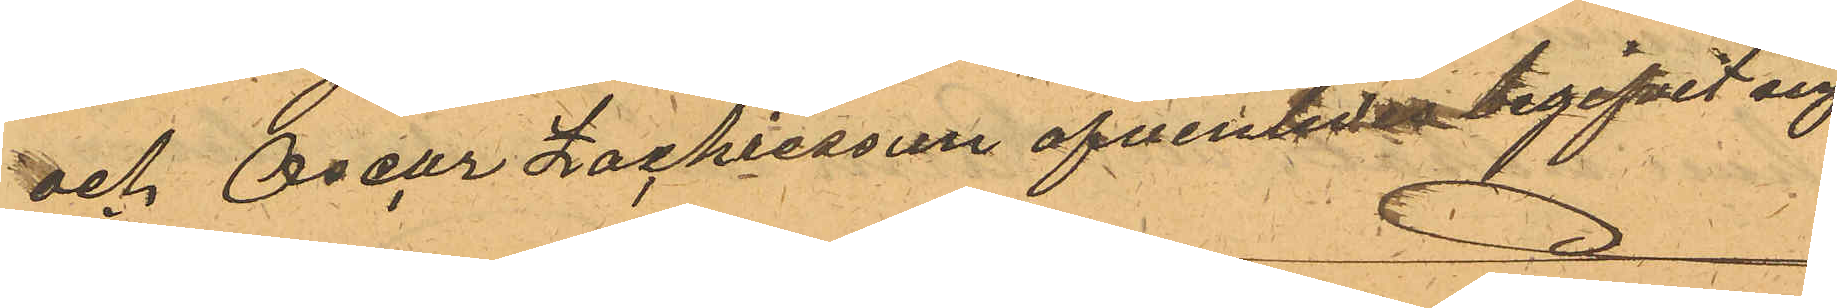och Oscar Zachrisson äfvenledes begifvit sig
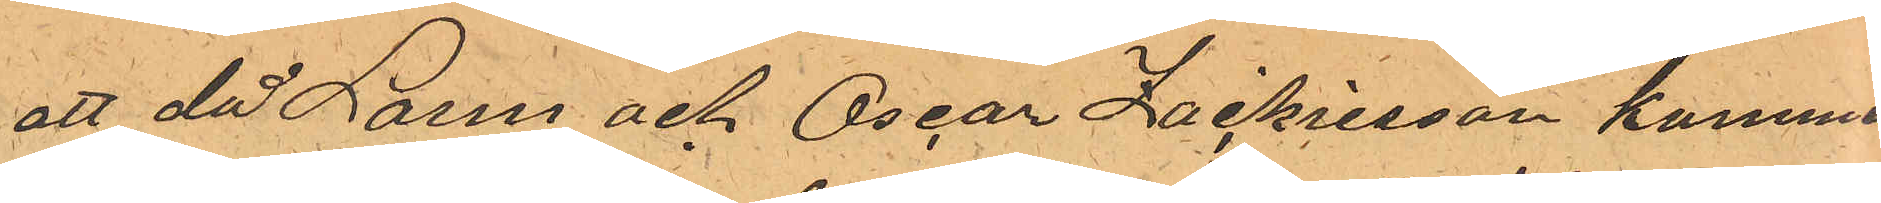att då Larm och Oscar Zackrisson kommit
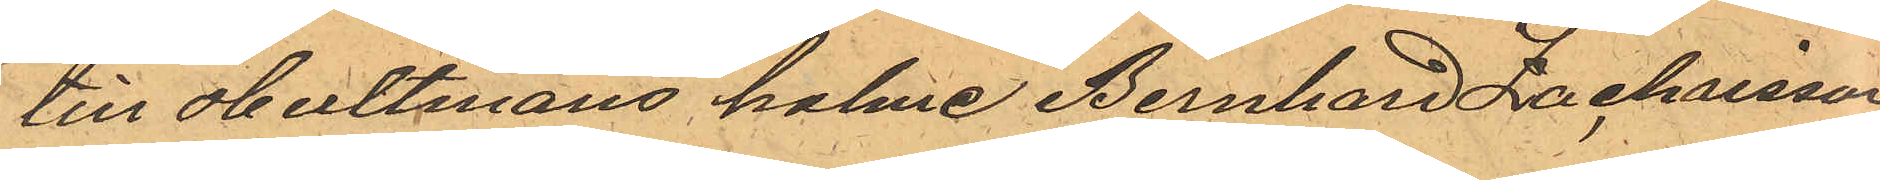till Hultmans holme Bernhard Zachrisson
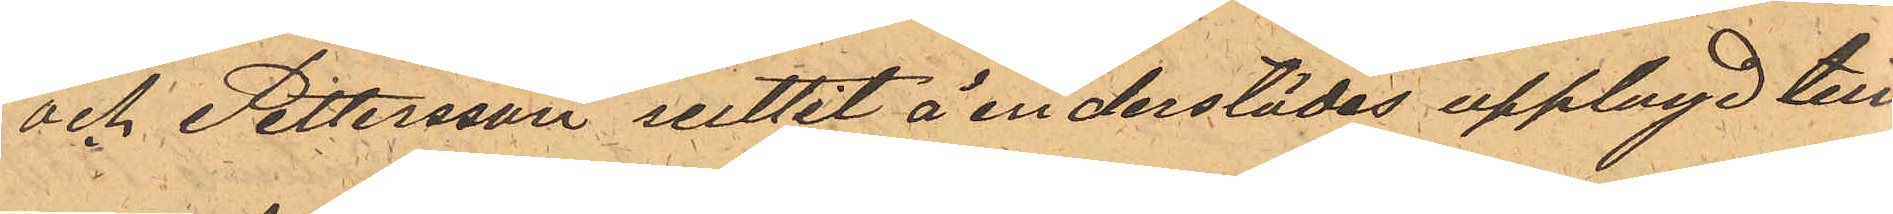och Pettersson suttit å en derstädes upplagd tim¬
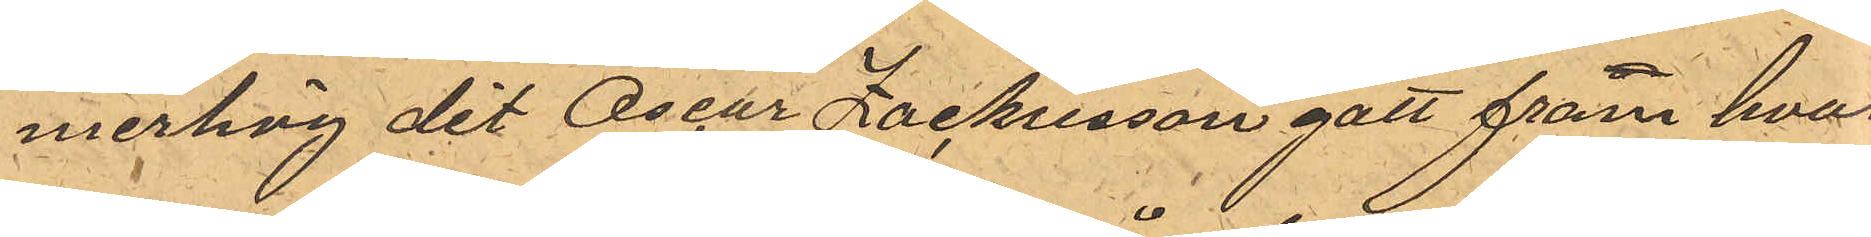merhög dit Oscar Zackrisson gått fram hvar¬
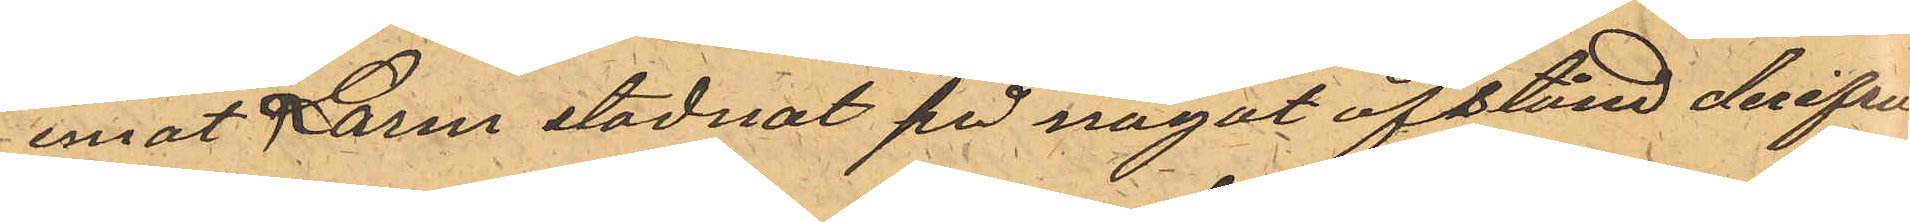emot Larm stadnat på något afstånd derifrån,
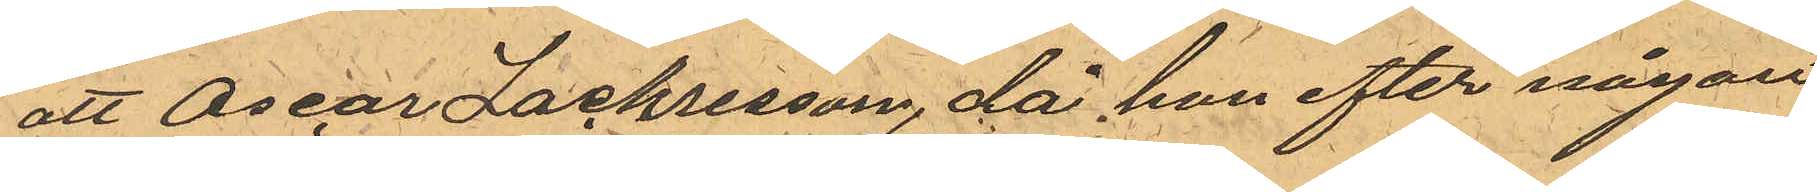att Oscar Zachrisson, då han efter någon
